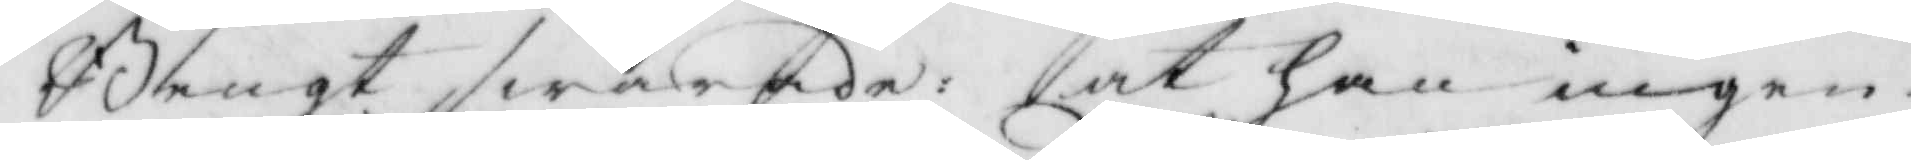Bengt swarade: at han ingen
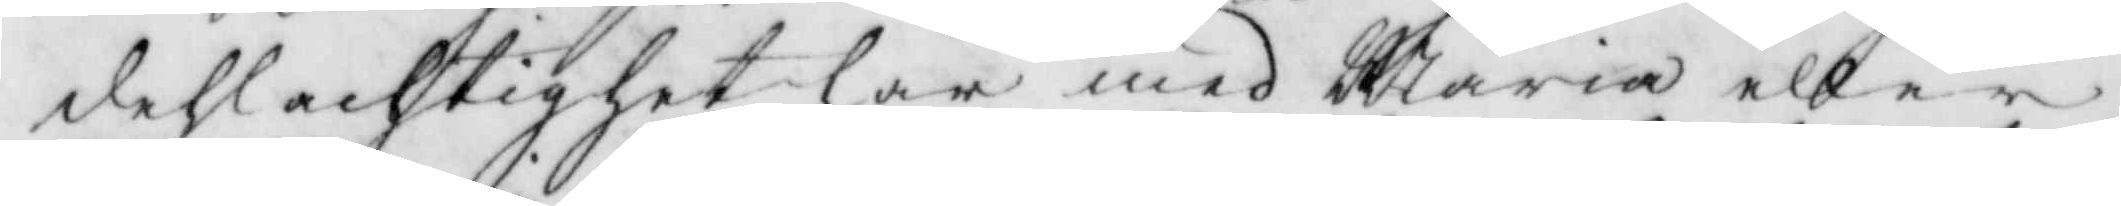dehlachtighet har med Maria eller
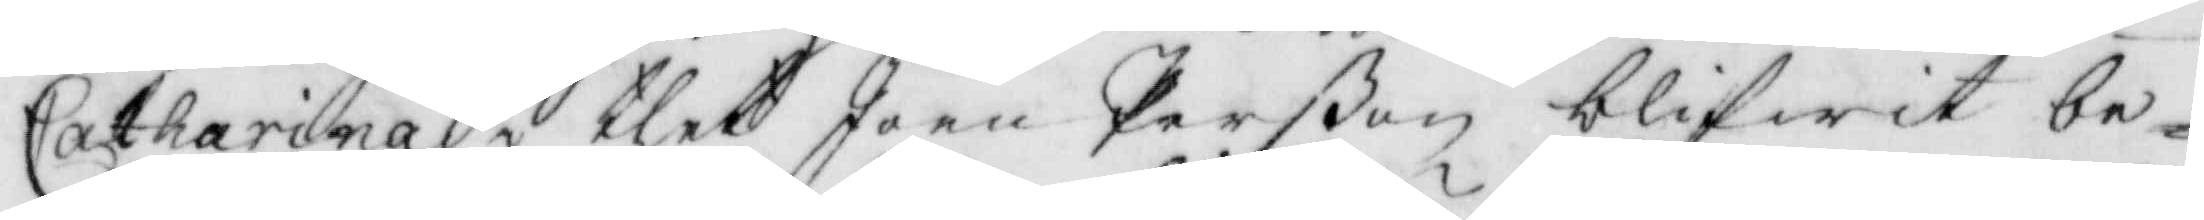Catharina i thet Joen Perßon blifwit be¬
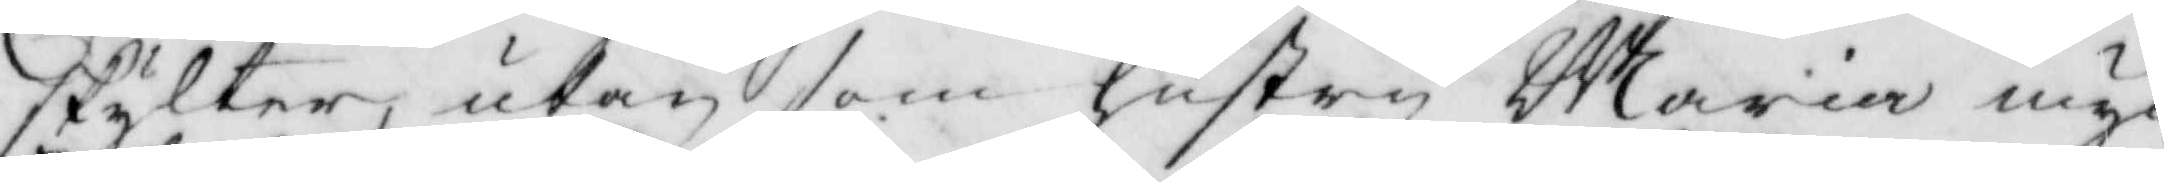skylter, utan som hustru Maria myc¬
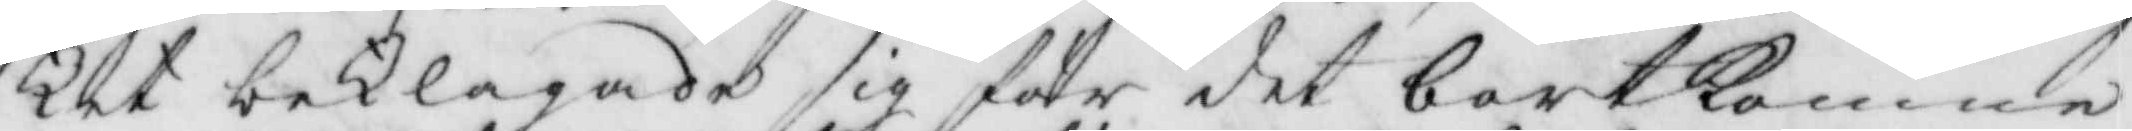ket beklagade sig för det bortkomne
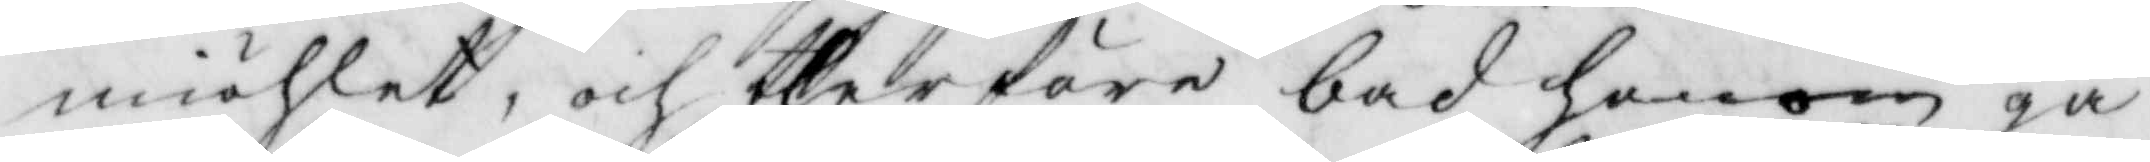miöhlet, och therföre bad honom gå
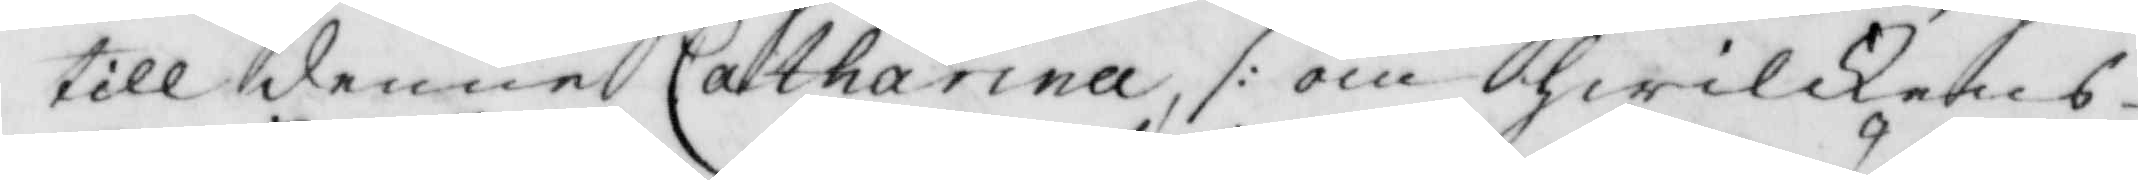till denne Catharina /: om hwilkens
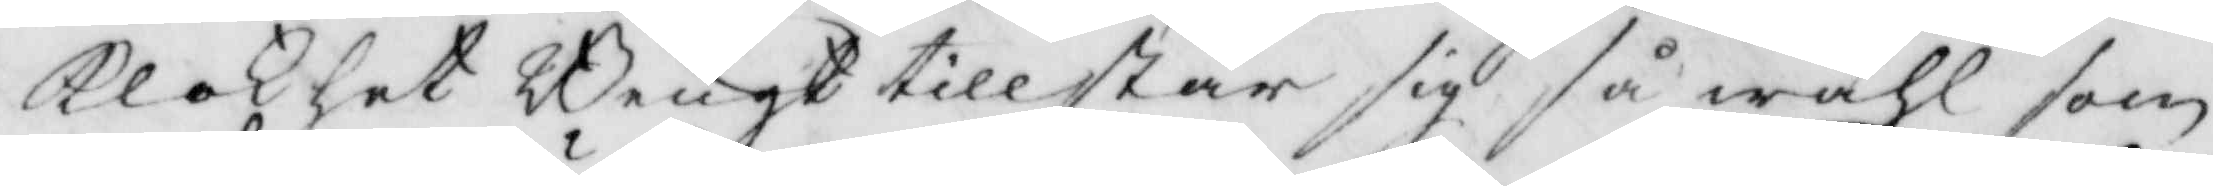klokhet Bengt tillstår sig så wähl som
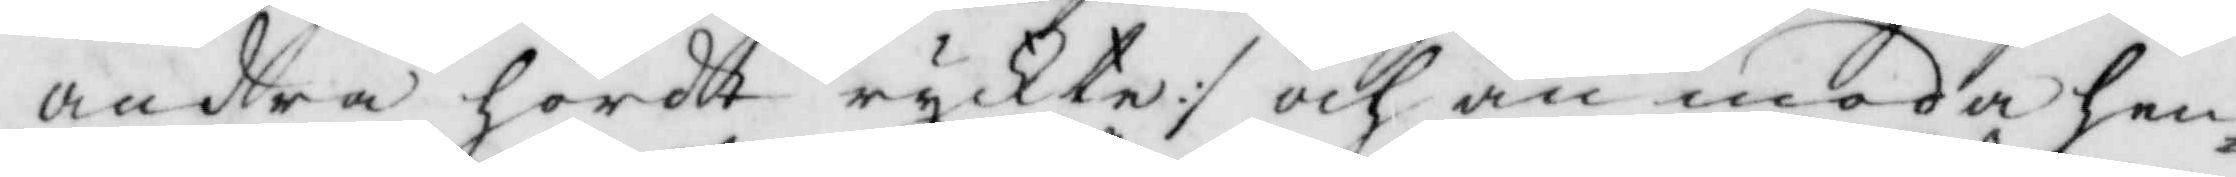andra hördt ryckte :/ och anmoda hen¬
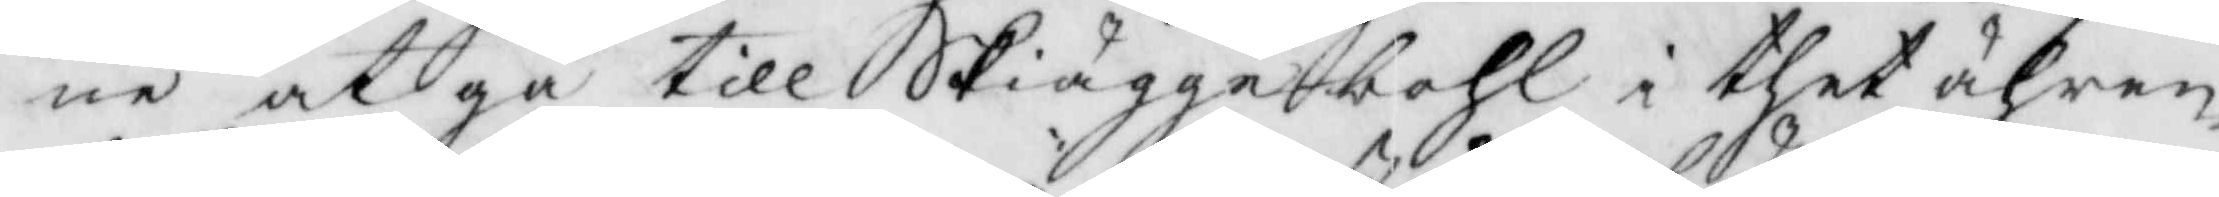ne at gå till Skiäggebohl i thet ähren¬
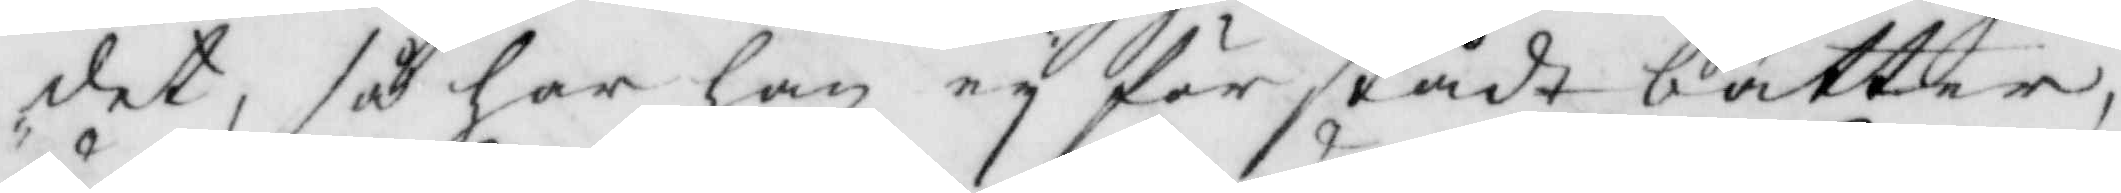det, så har han ey förstådt bättre,
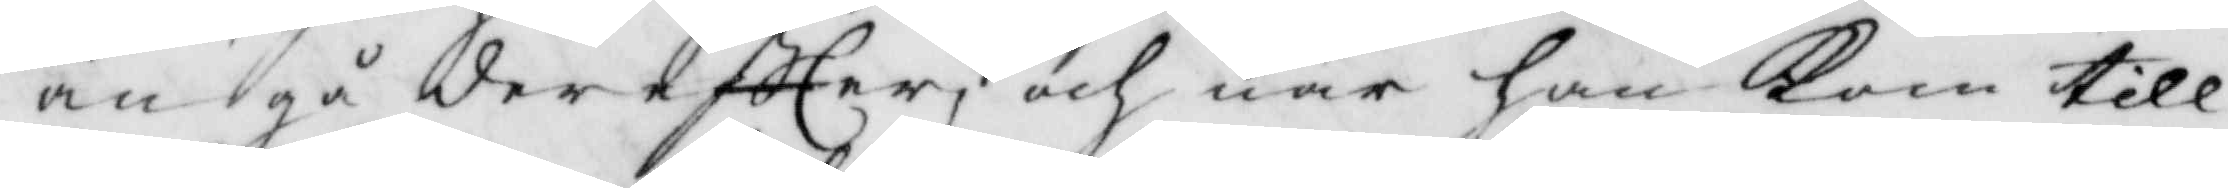än gå dereftter, och när han kom till
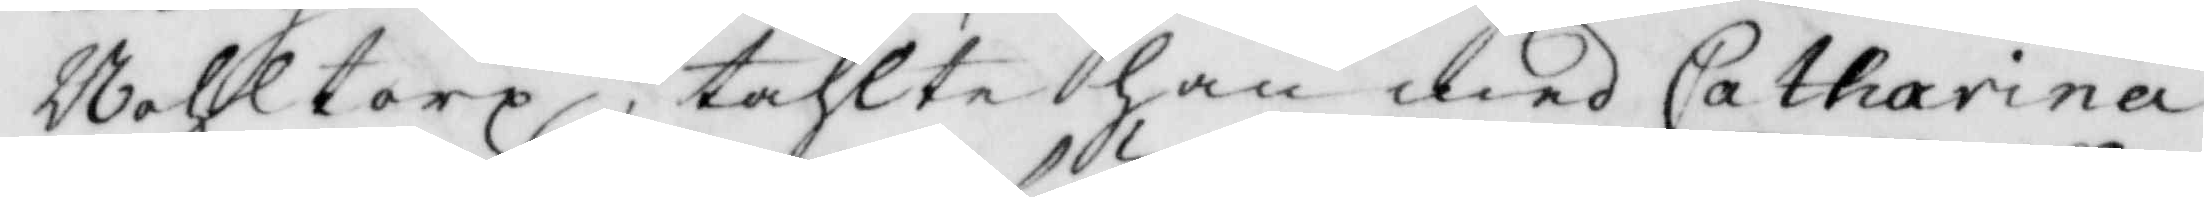Wahltorp, tahlte han med Catharina
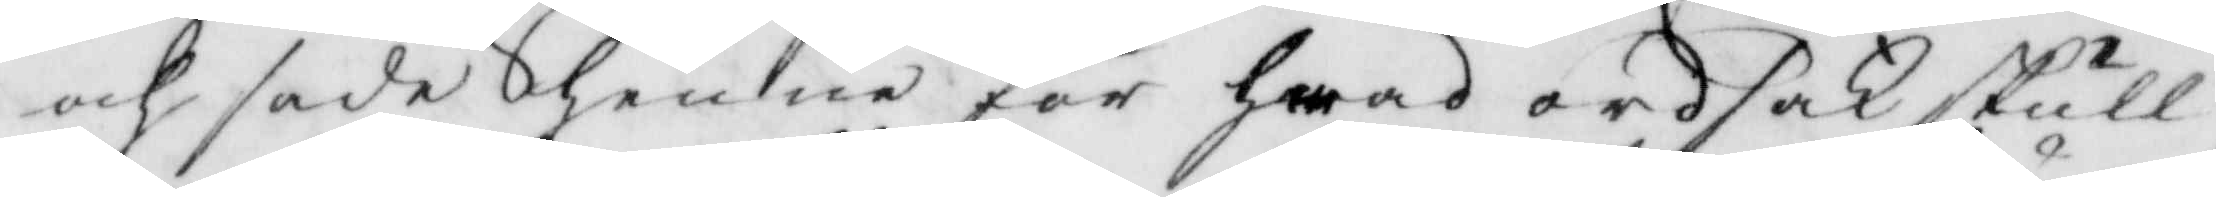och sade henne för hwad ordsak skull
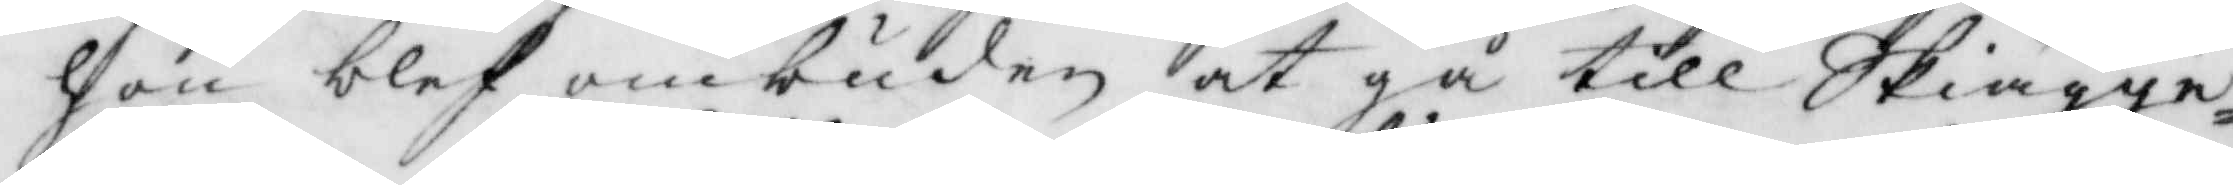hon blef ombuden at gå till Skiägge¬
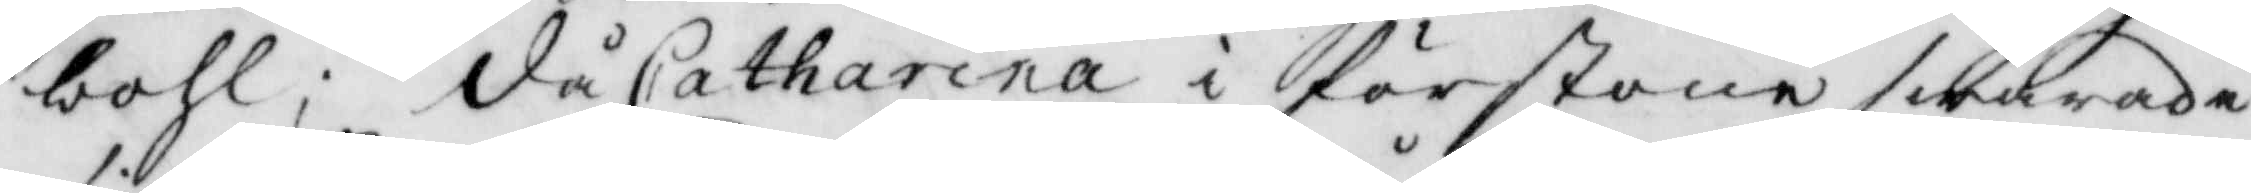bohl; då Catharina i förstone swarade
